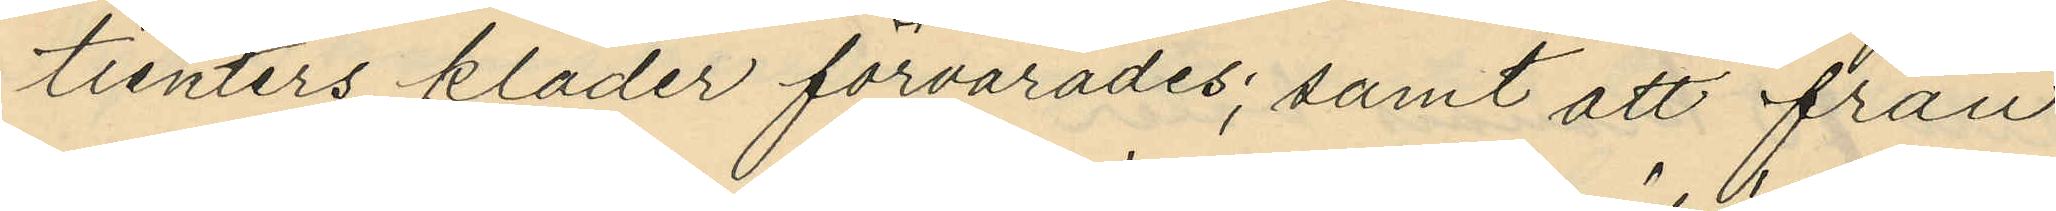tienters kläder förvarades; samt att från
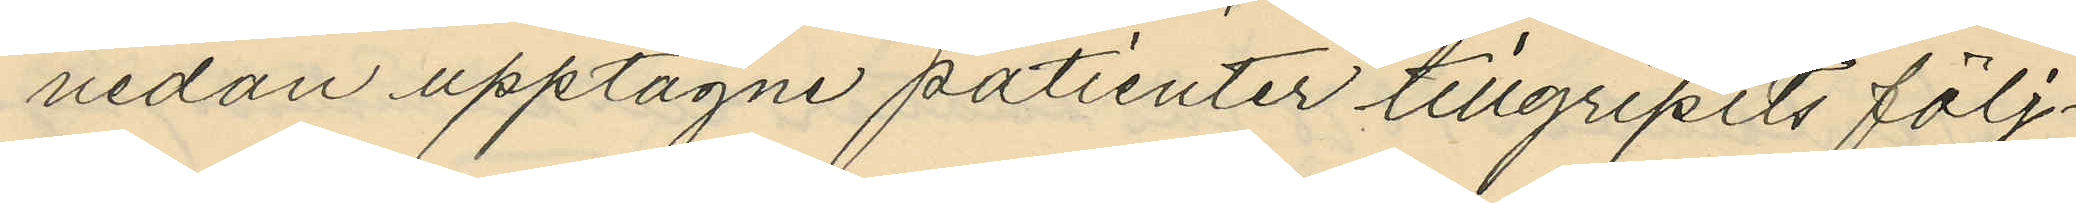nedan upptagne patienter tillgripits följ¬
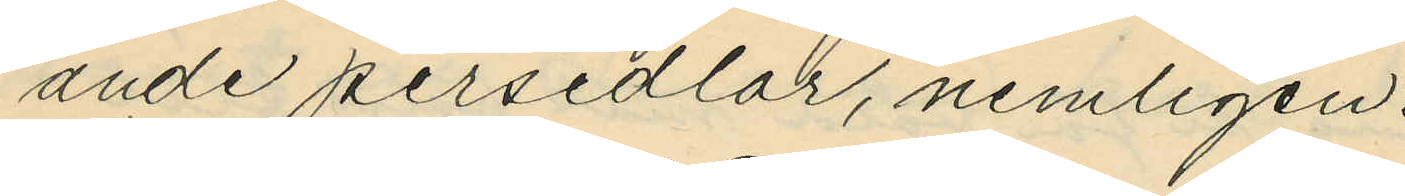ande persedlar, nemligen:
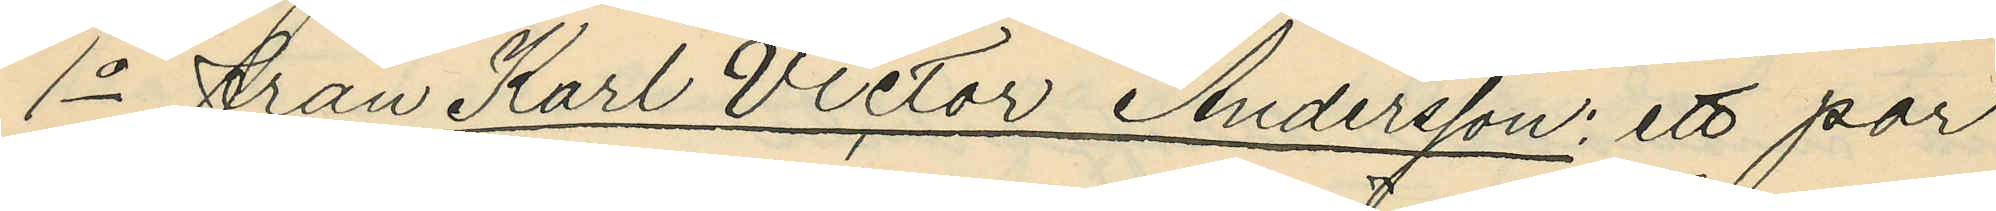1o från Karl Victor Andersson: ett par
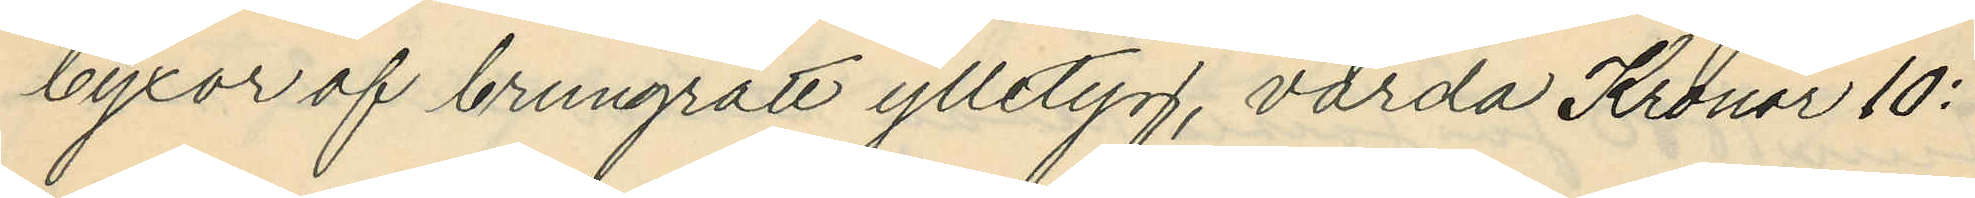byxor af brungrått ylletyg, värda Kronor 10:
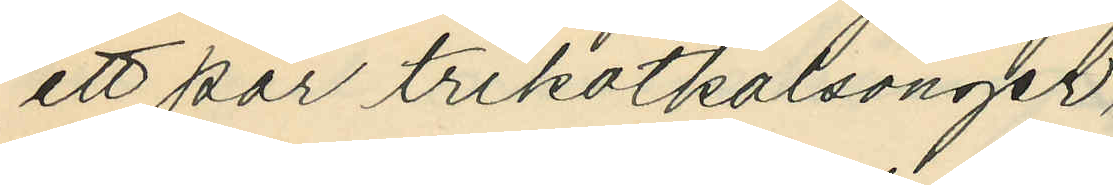ett par trikotkalsonger,
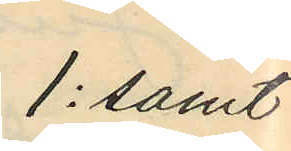1: samt
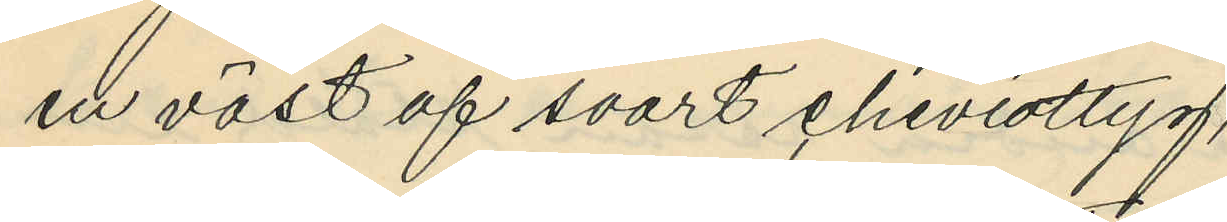en väst af svart cheviottyg,
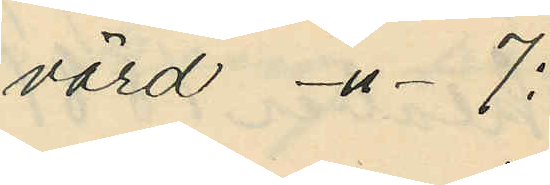värd -"- 7:
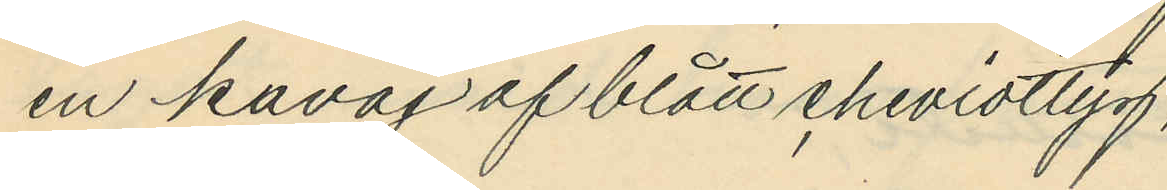en kavaj af blått cheviottyg,
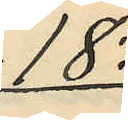18:
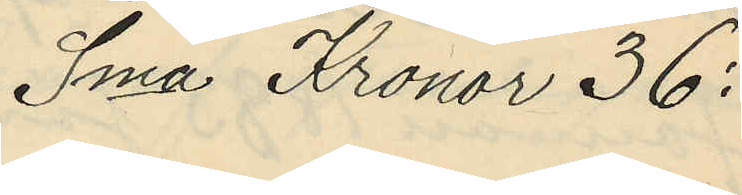Sma Kronor 36:
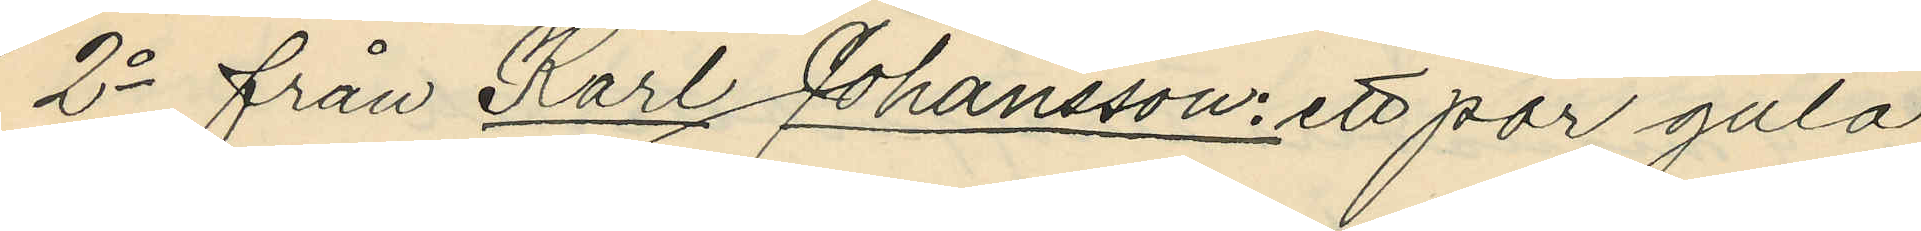2o från Karl Johansson: ett par gula
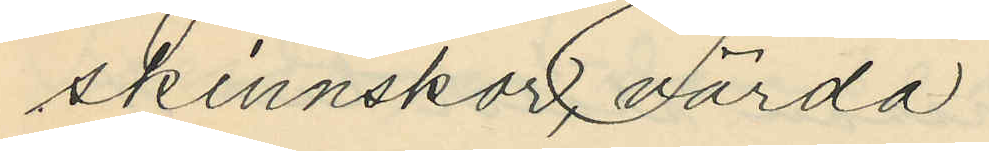skinnskor värda
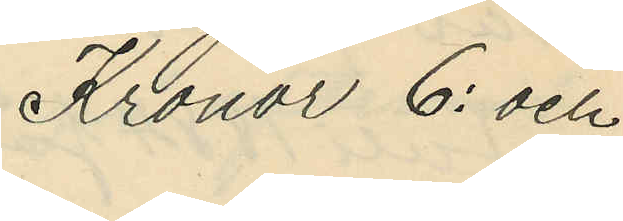Kronor 6: och
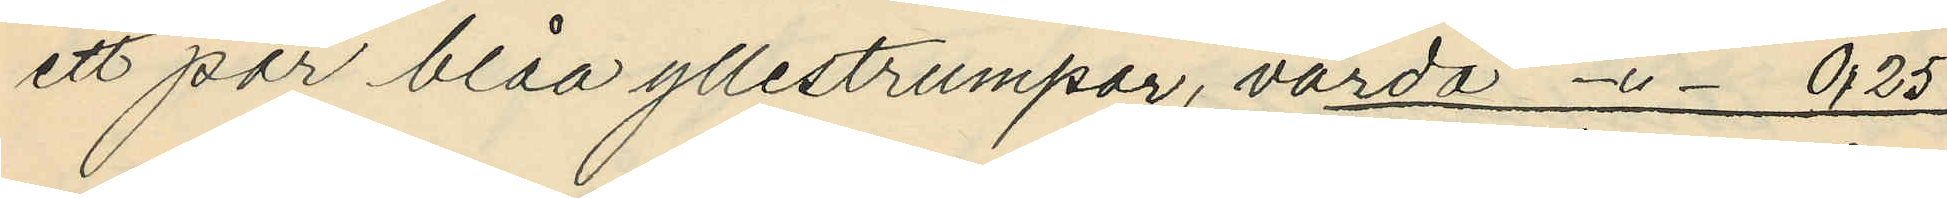ett par blåa yllestrumpor, värda -"- 0,25
